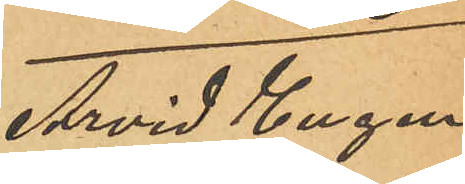Arvid Eugen
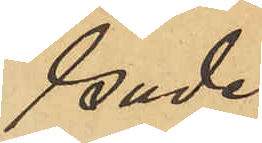Gude
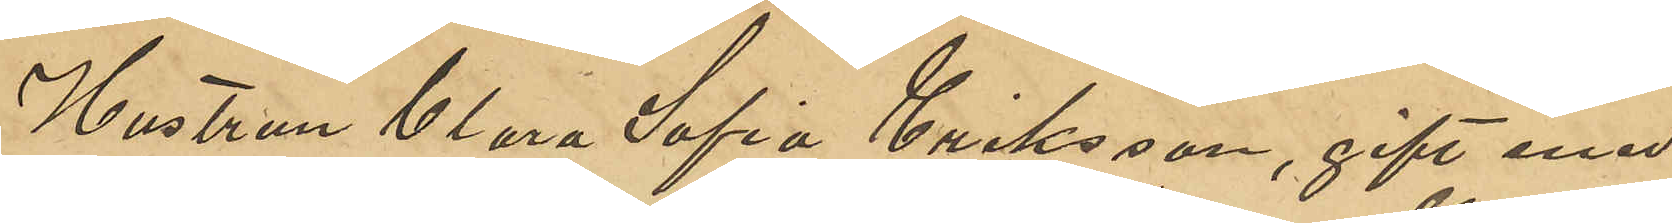Hustrun Clara Sofia Eriksson, gift med
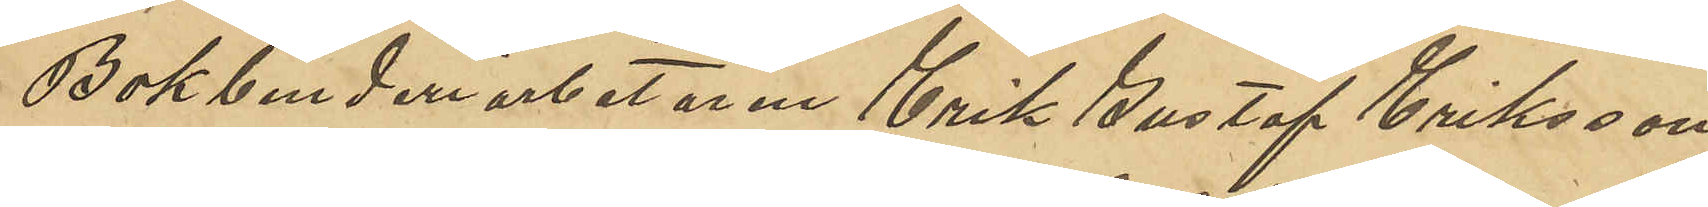Bokbinderiarbetaren Erik Gustaf Eriksson
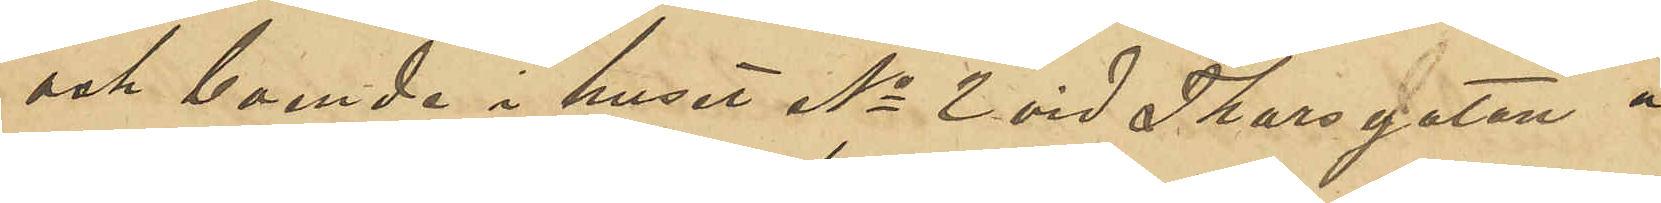och boende i huset No 2 vid Thorsgatan å
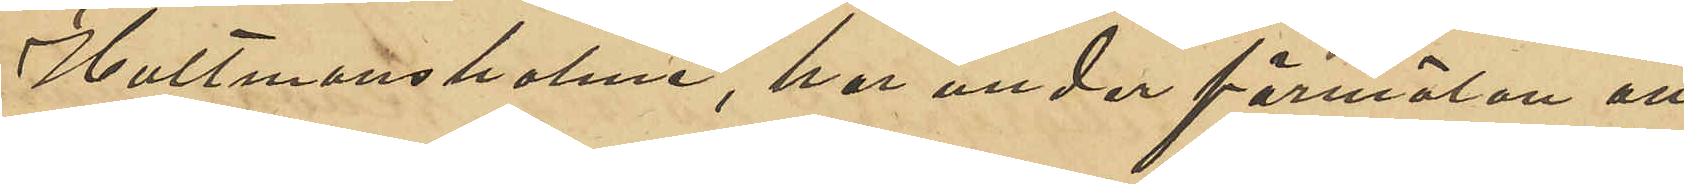Hultmansholme, har under förmälan att
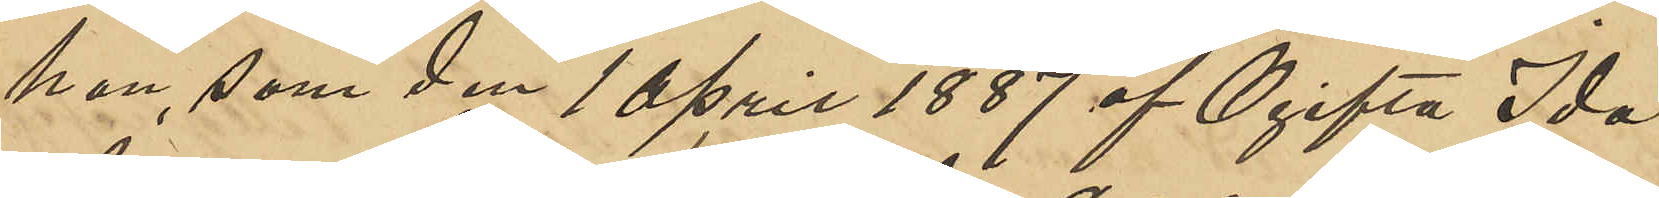hon, som den 10 April 1887 af Ogifta Ida
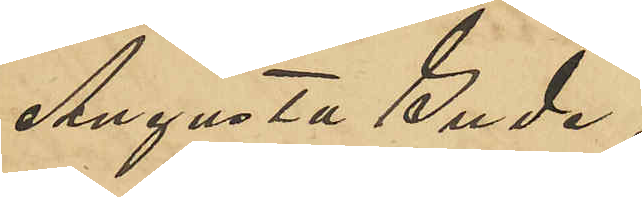Augusta Gude,
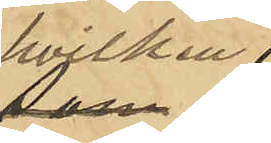hvilken
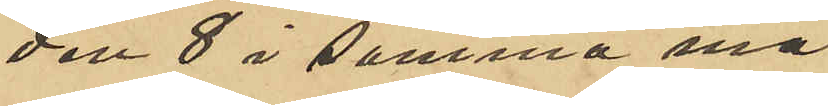den 8 i samma må¬
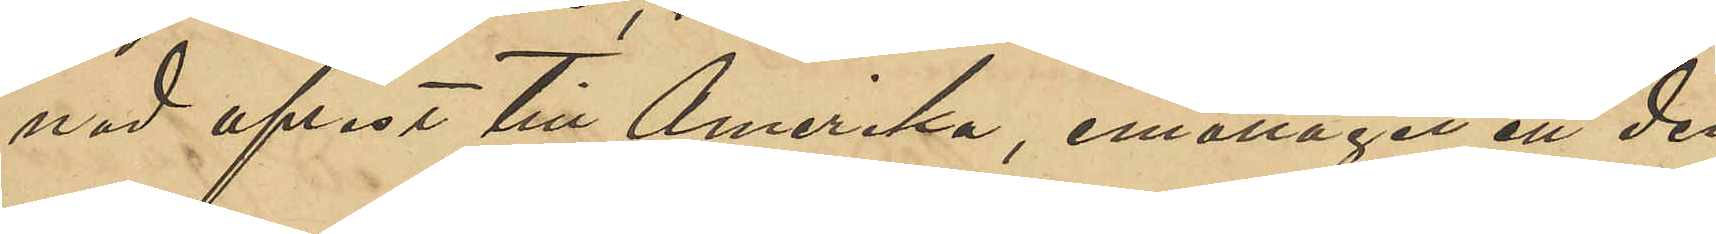nad afrest till Amerika, emottagit att den¬
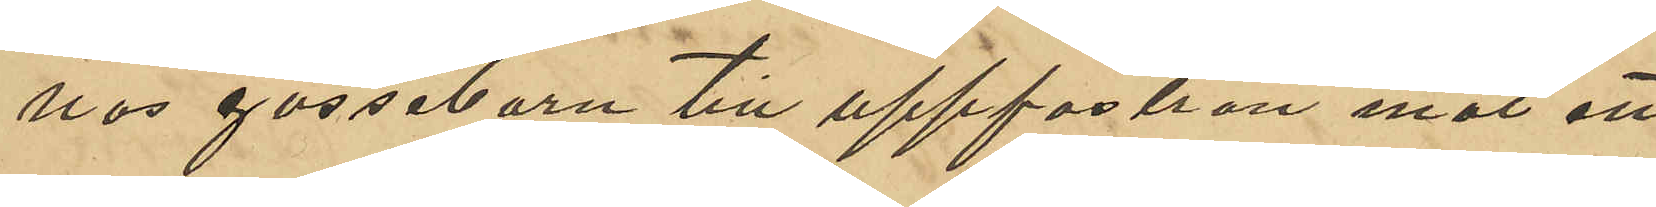nas gossebarn till uppfostran mot ett
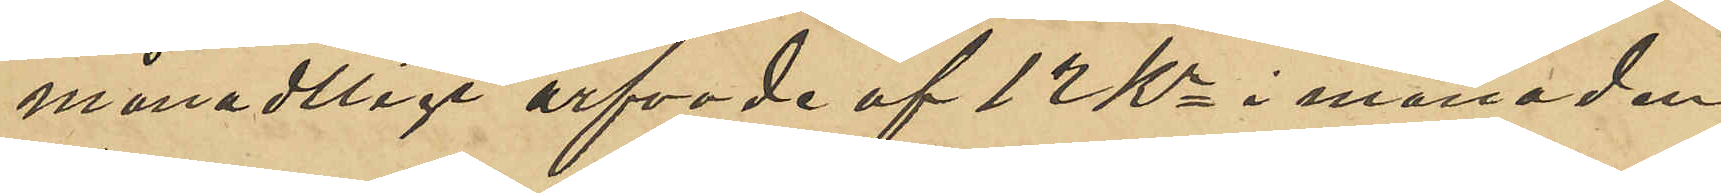månadtligt arfvode af 12 Kr i månaden
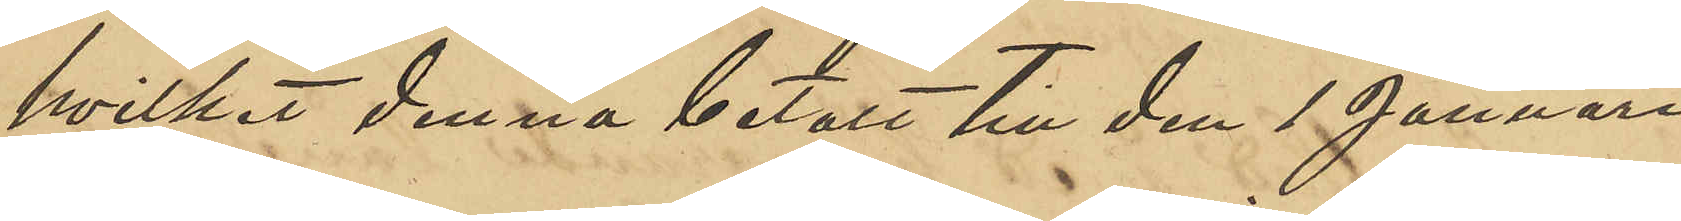hvilket denna betalt till den 1 Januari
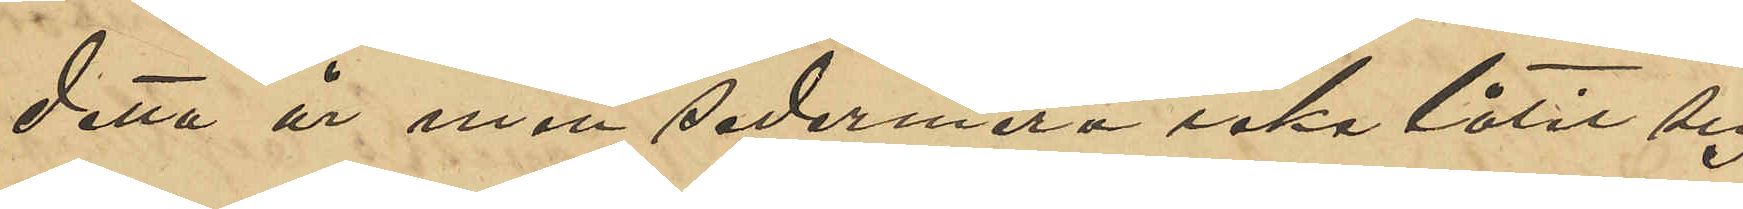detta år med sedermera icke låtit sig
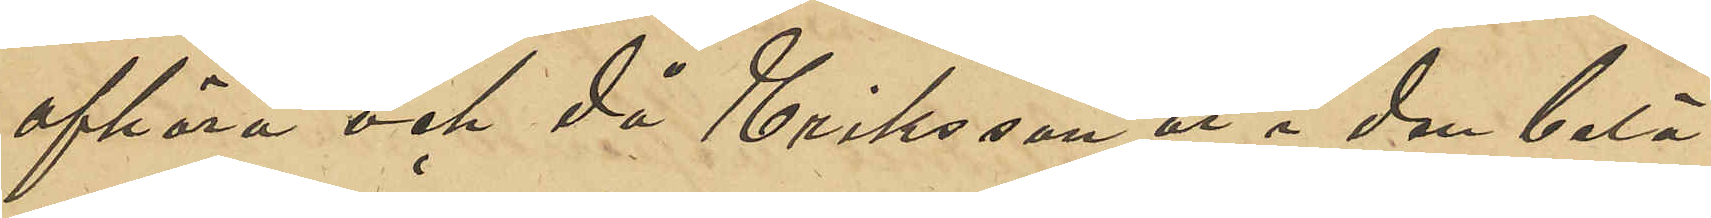afhöra och då Eriksson är i den belä¬
